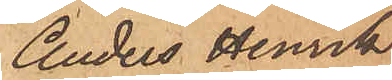Anders Henrik
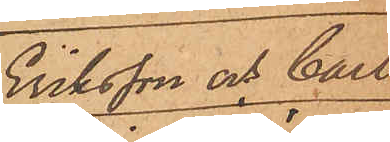Eriksson och Carl
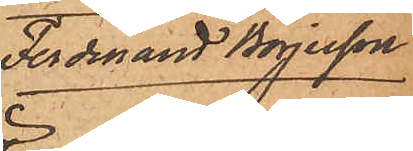Ferdinand Börjesson
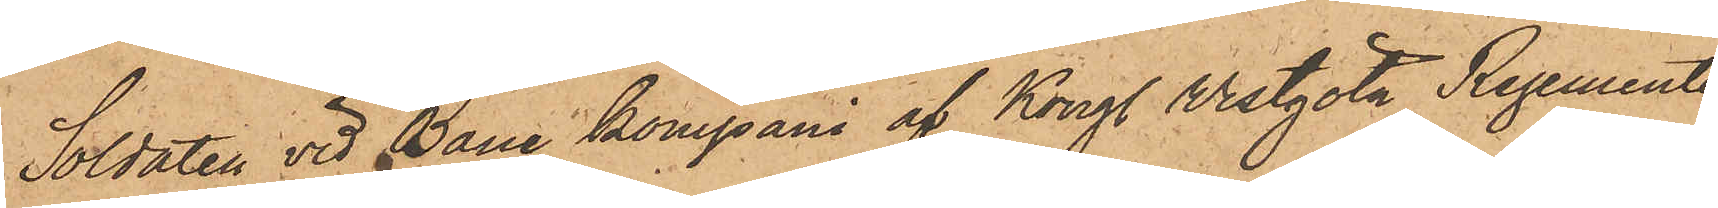Soldaten vid Bane kompani af Kongl Westgöta Regemente
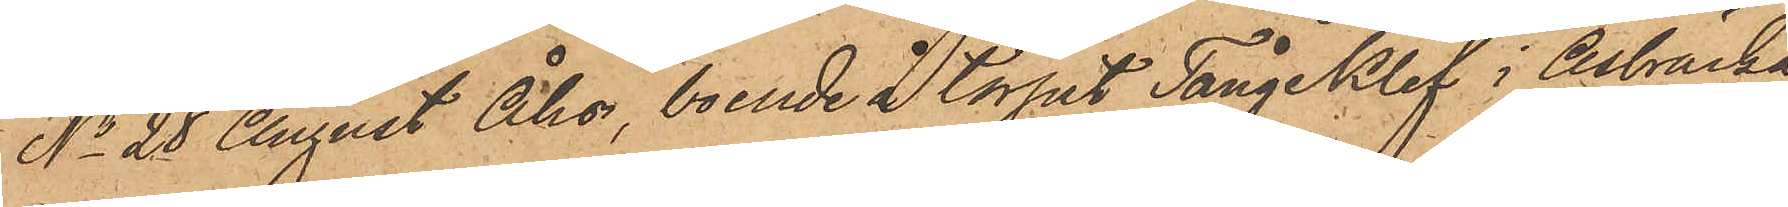No 28 August Åhs, boende å torpet Tångeklef i Åsbräcka
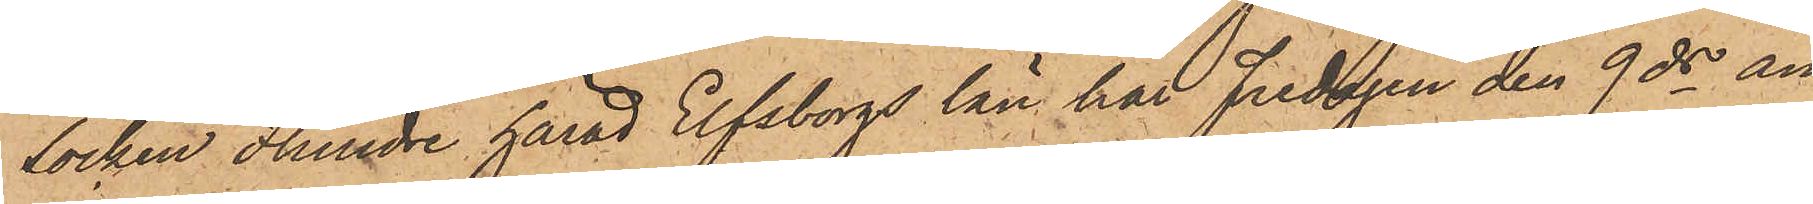Socken Flundre härad Elfsborgs län har Fredagen den 9 ds an¬
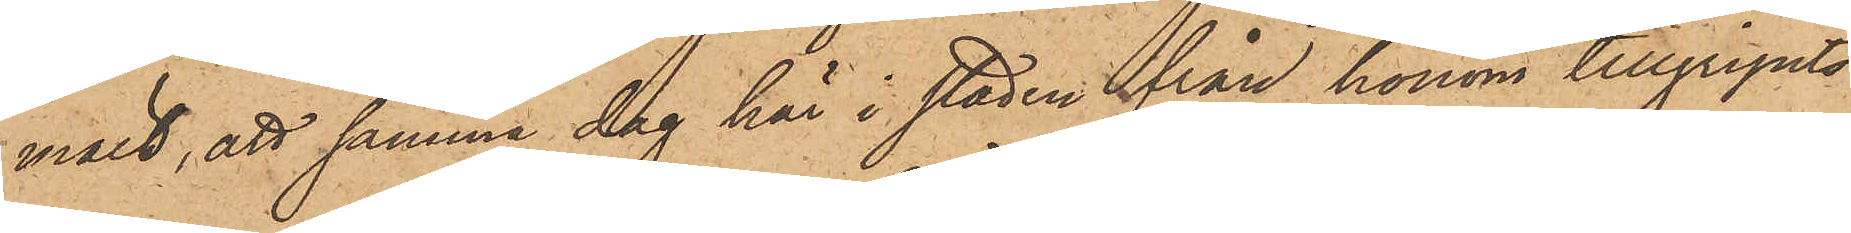mält, att samma dag här i staden från honom tillgripits
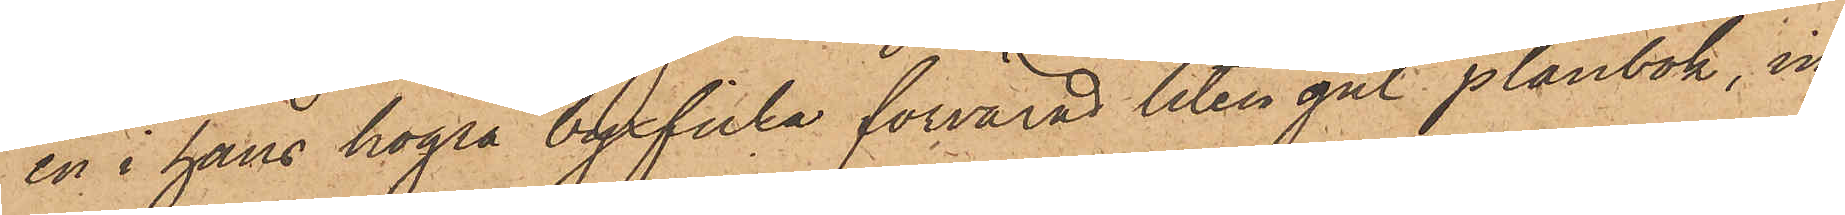en i hans högra byxficka förvarad liten gul plånbok, in¬
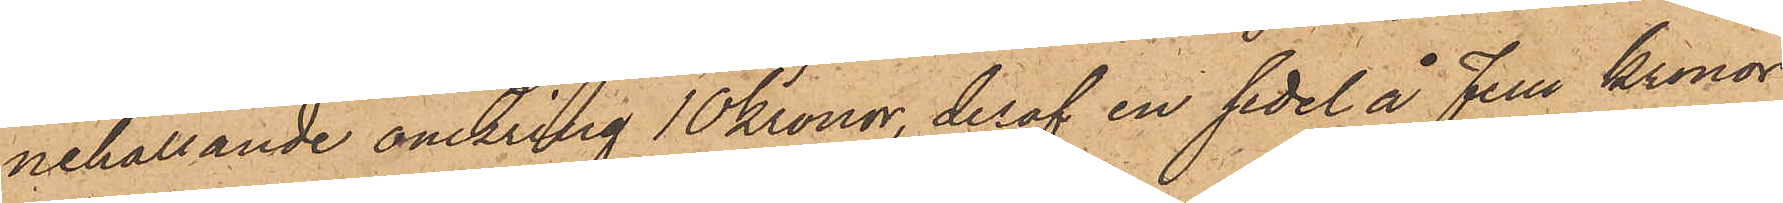nehållande omkring 10 kronor, deraf en sedel å Fem Kronor
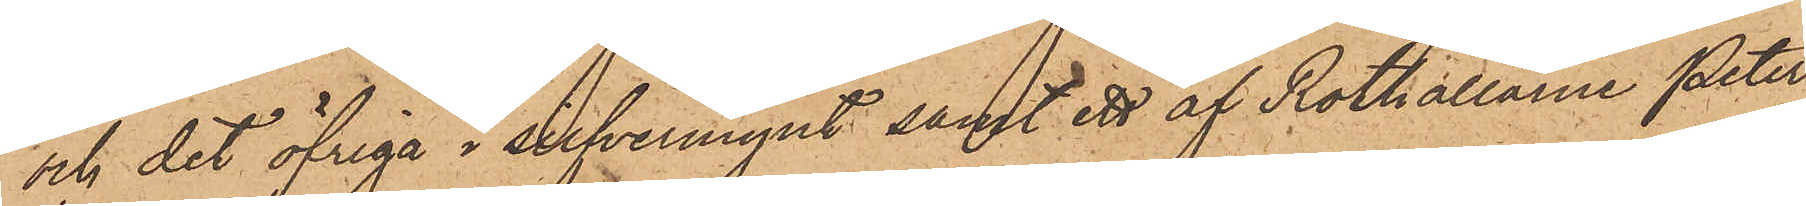och det öfriga i silfvermynt samt ett af Rothållarne Peter
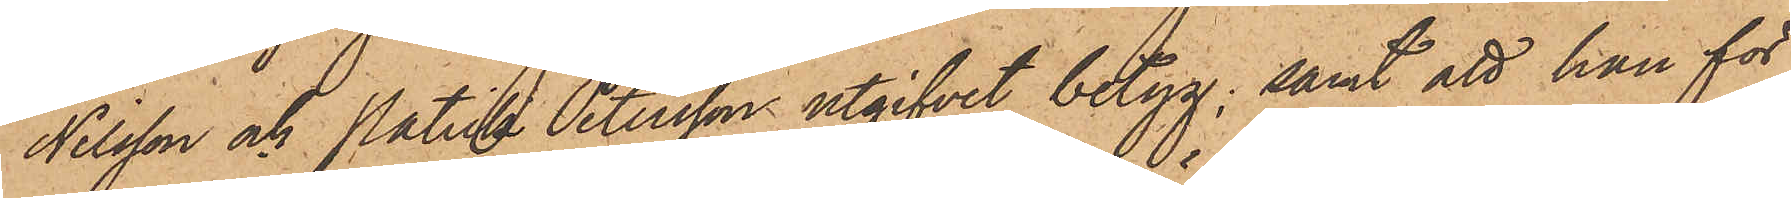Nilsson och Patrik Petersson utgifvit betyg; samt att han för
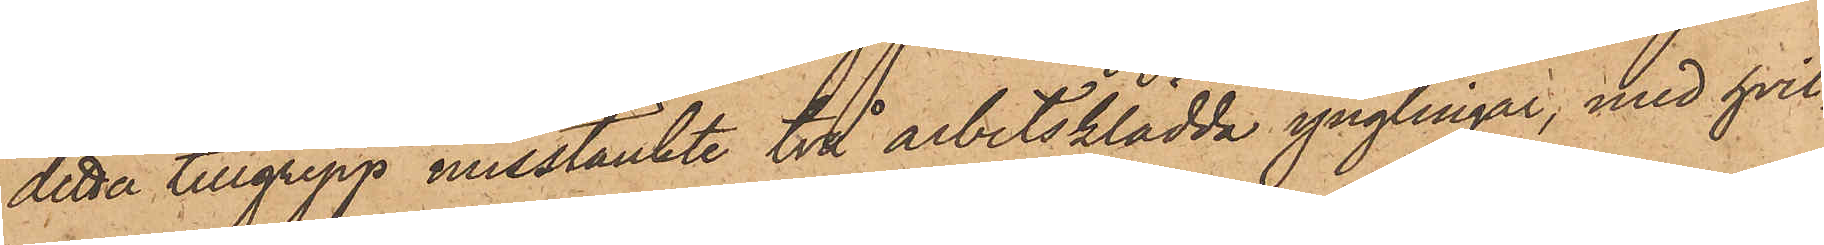detta tillgrepp misstänkte två arbetsklädda ynglingar, med hvil¬
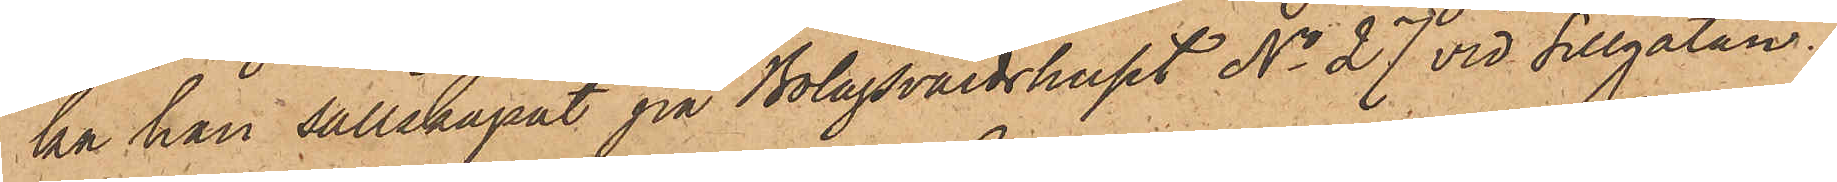ka han sällskapat på Bolagsvärdshuset No 27 vid Sillgatan.
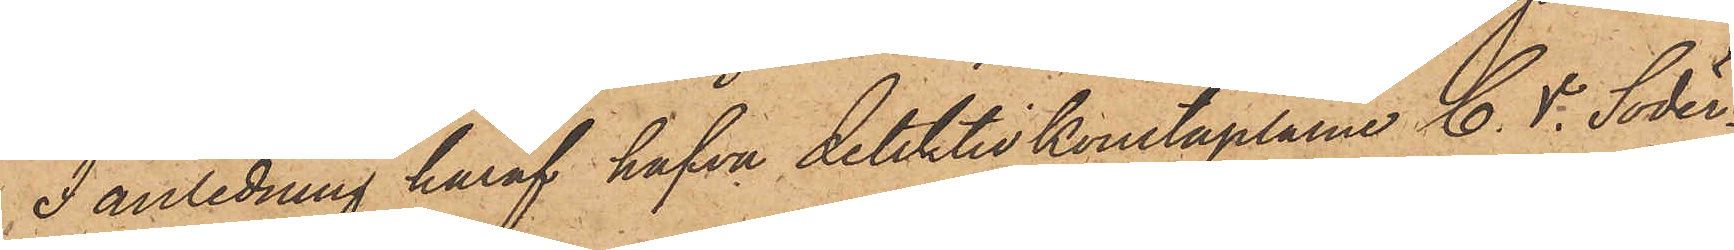I anledning häraf hafva detektivkonstaplarne C. V. Söder¬
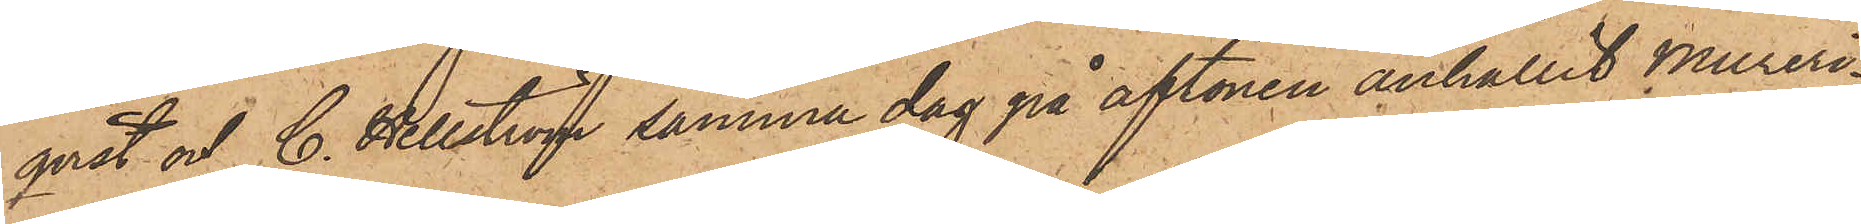qvist och C. Hellström samma dag på aftonen anhållit Mureri¬
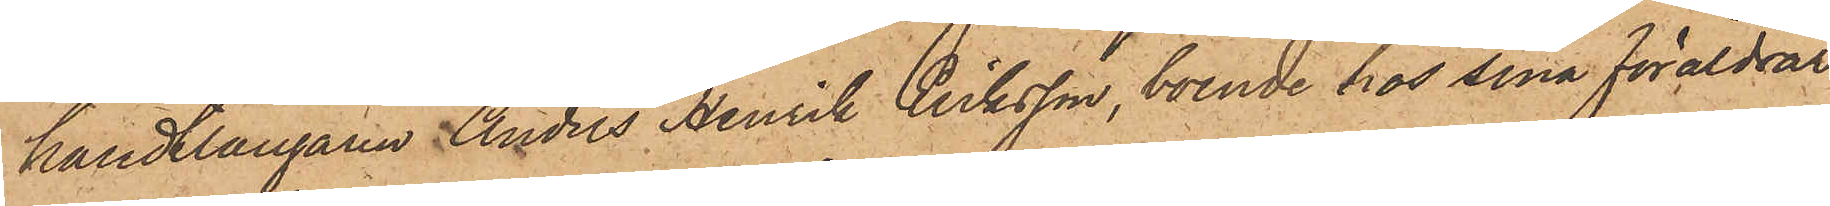handtlangaren Anders Henrik Eriksson, boende hos sina föräldrar
